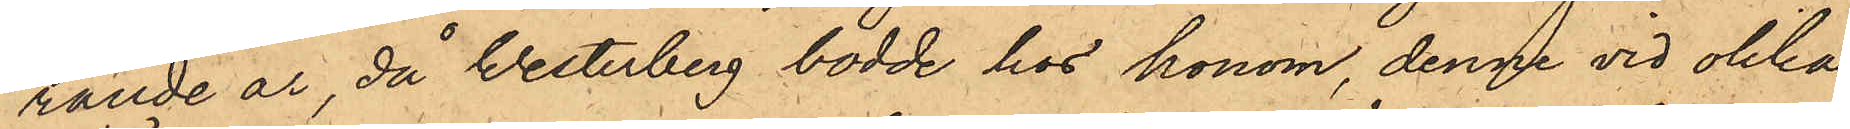rande år, då Westerberg bodde hos honom, denne vid olika
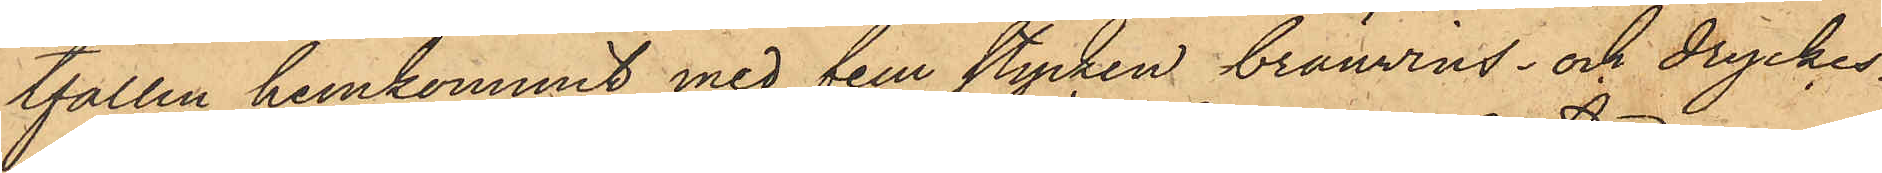tfällen hemkommit med fem stycken brännvins- och dryckes¬
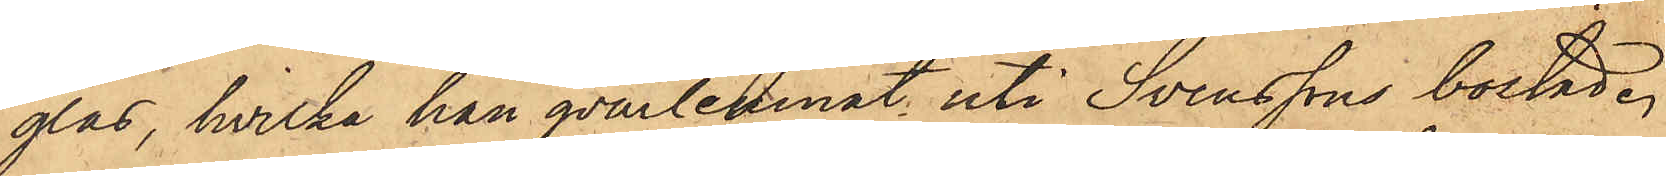glas, hvilka han qvarlemnat uti Svenssons bostad.
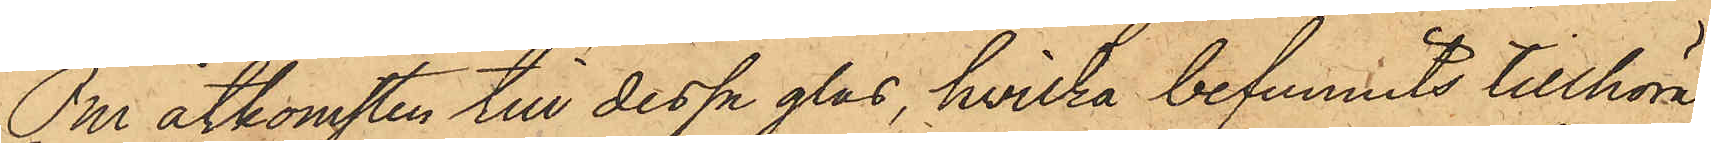Om åtkomsten till dessa glas, hvilka befunnits tillhöra
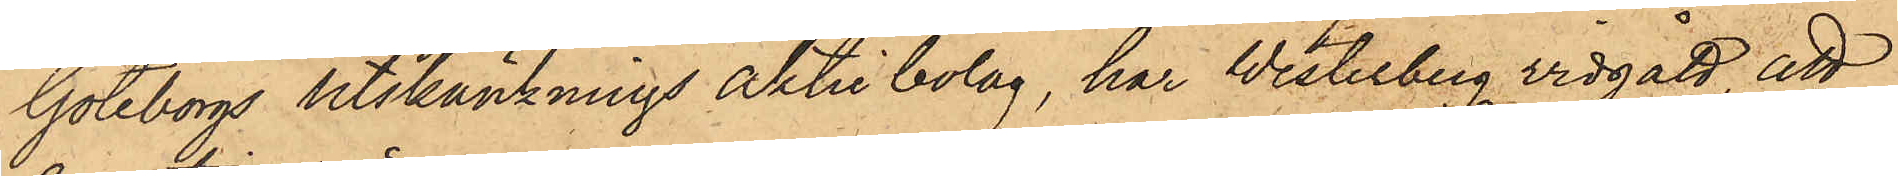Göteborgs Utskänknings Aktiebolag, har Westerberg vidgått, att
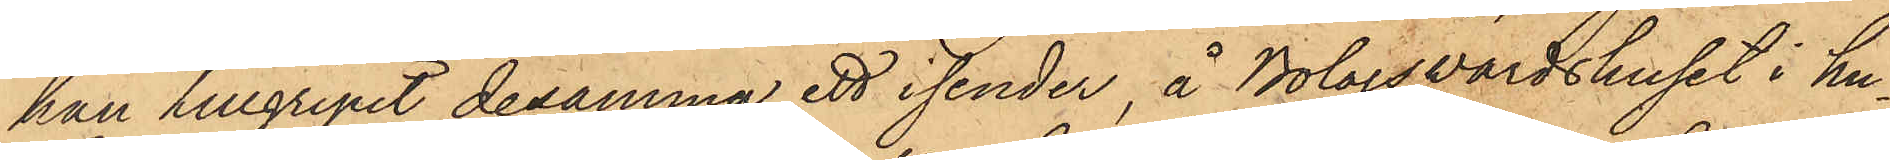han tillgripit desamma, ett isender, å Bolagsvärdshuset i hu¬
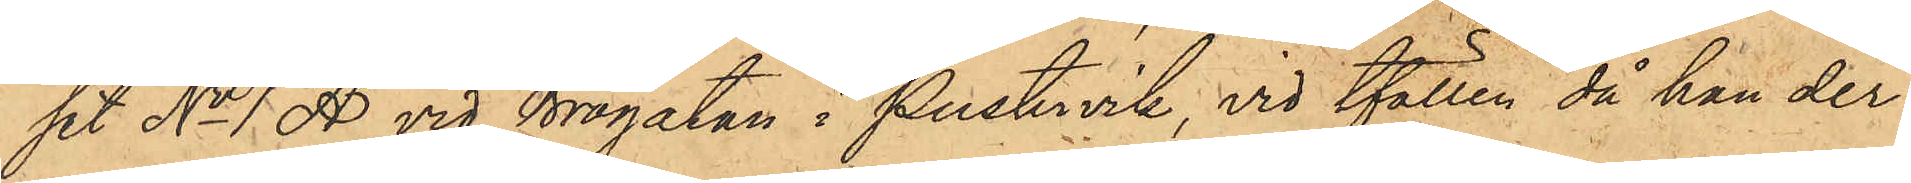set No 1 A vid Brogatan i Pustervik, vid tfällen, då han der
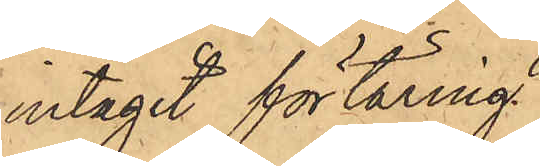intagit förtäring.
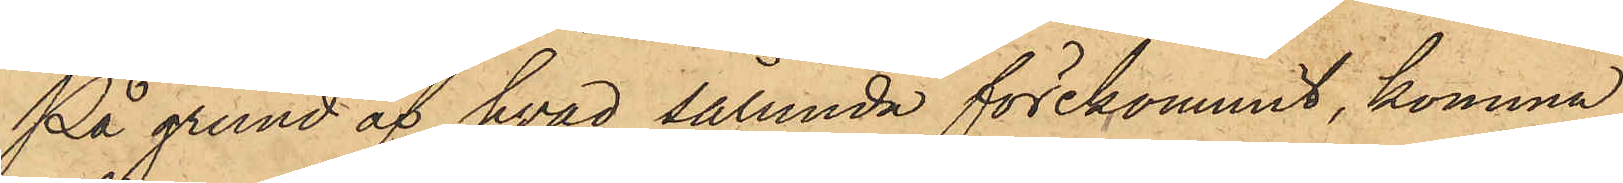På grund af hvad sålunda förekommit, komma
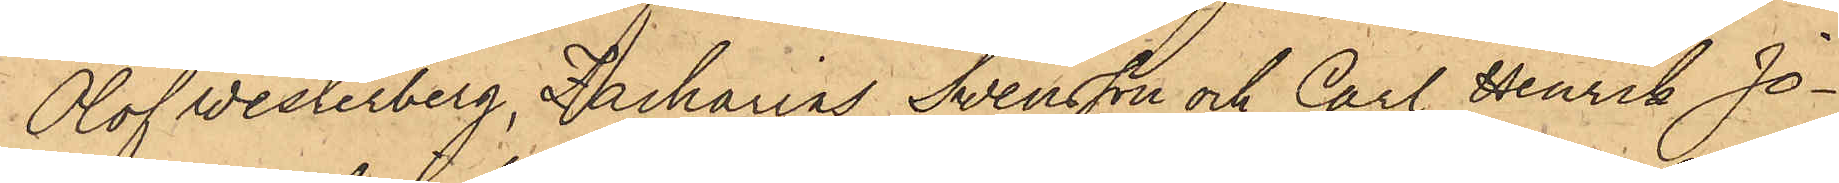Olof Westerberg, Zacharias Svensson och Carl Henrik Jo¬
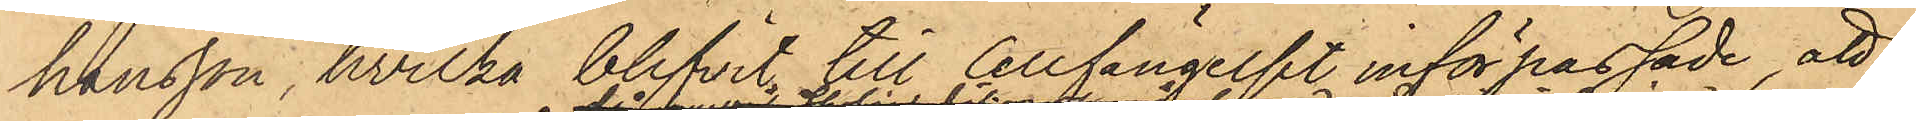hansson, hvilka blifvit till Cellfängelst införpassade, att
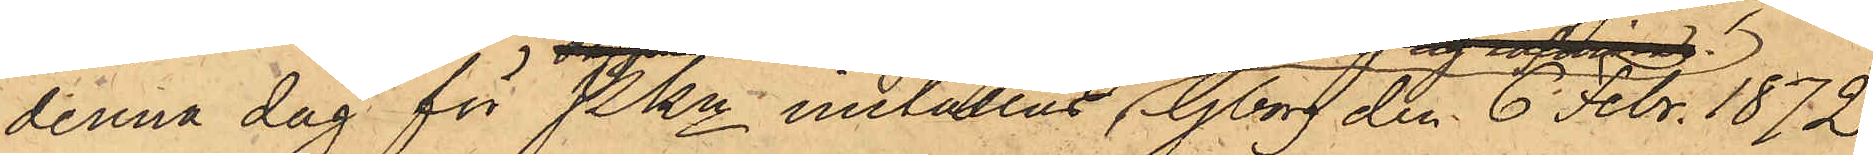denna dag för PKn inställas. Gborg den 6 Febr. 1872.
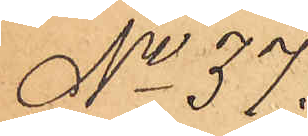No 37.
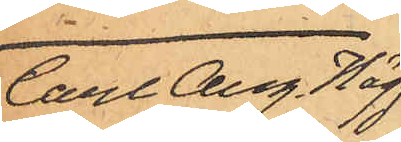Carl Aug. Hägg
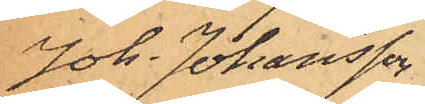Joh. Johansson
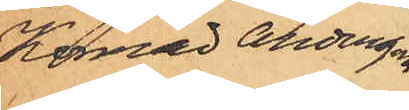Konrad Andersson
